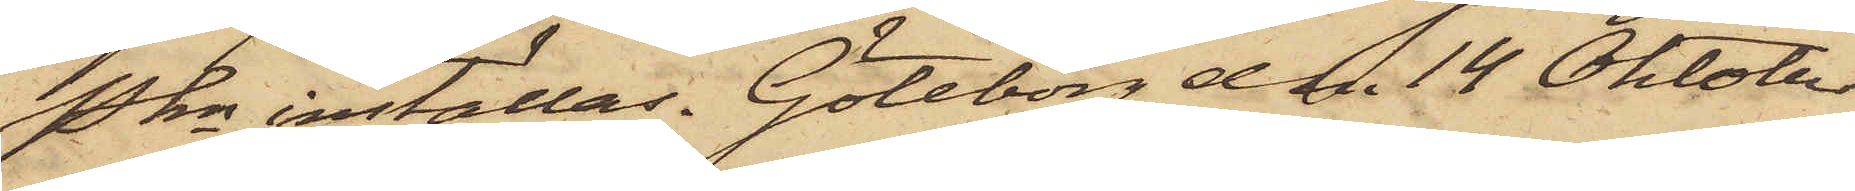Pkn inställas. Göteborg den 14 Oktober
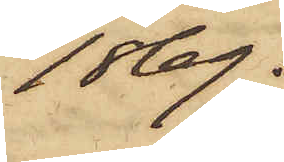1869.
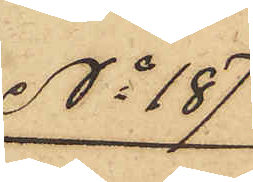No 187
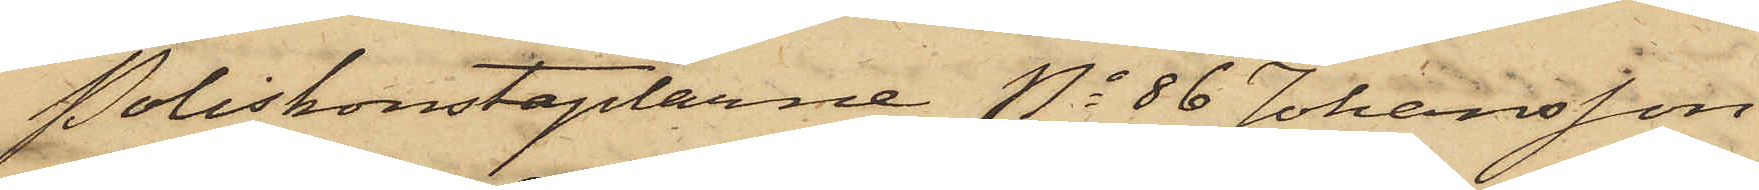Poliskonstaplarne No 86 Johansson
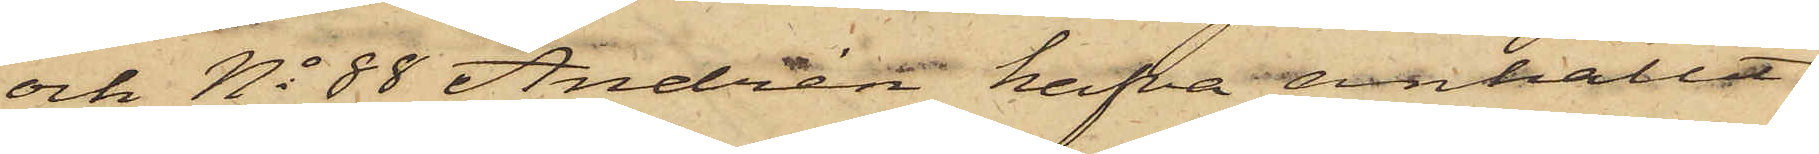och No 88 Andrén hafva anhållit
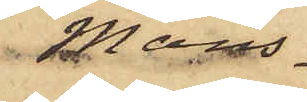Mans¬
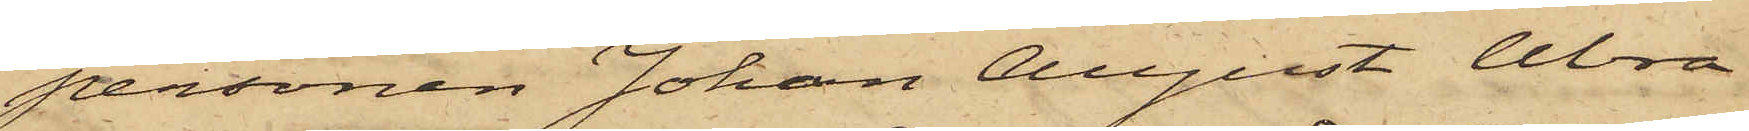personen Johan August Abra¬
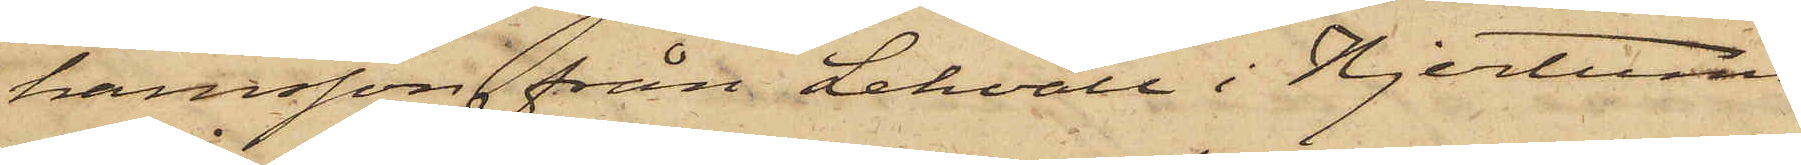hamsson från Lekvall i Hjertums
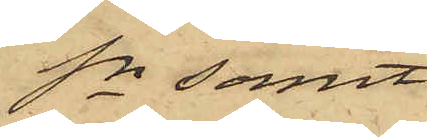Sn samt
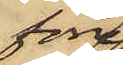förre
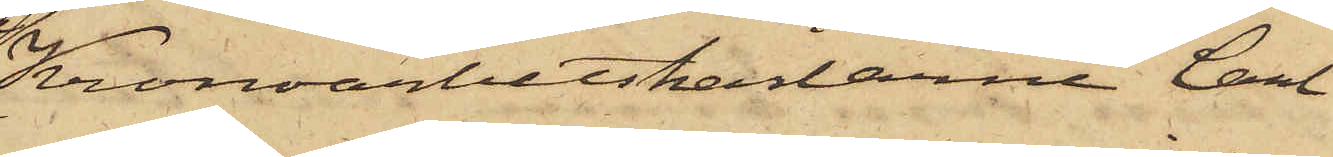Kronoarbetskarlarne Carl
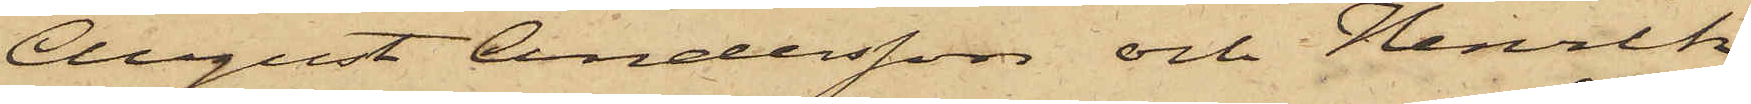August Andersson och Henrik
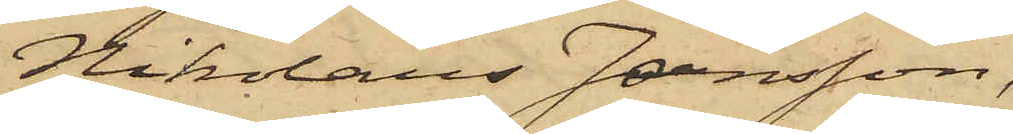Nikolaus Jansson,
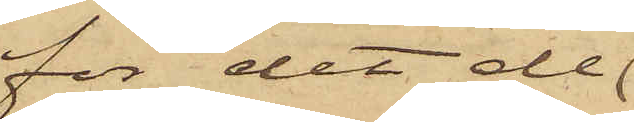för det de
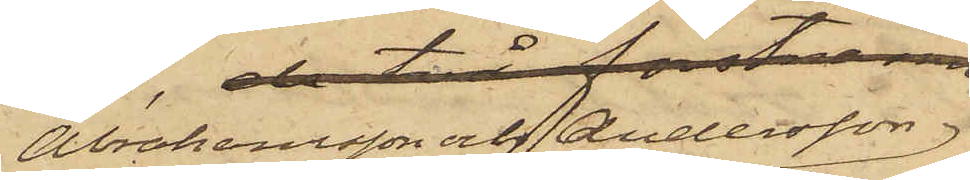Abrahamsson och Andersson
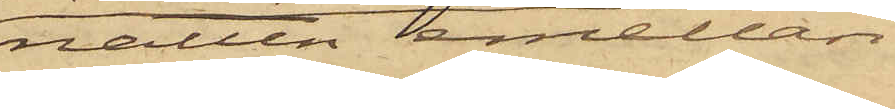natten emellan
